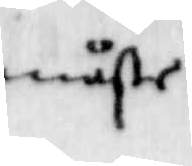måste
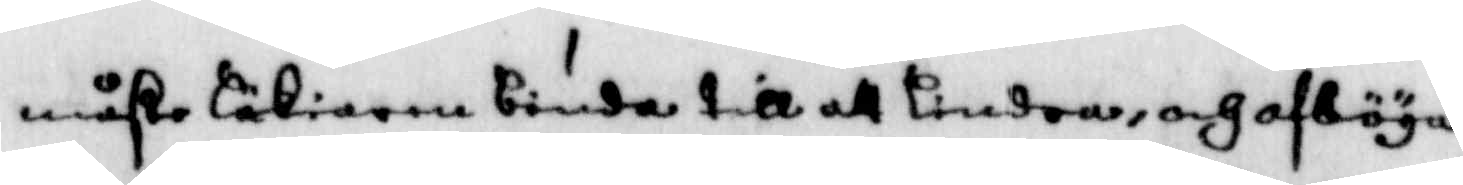måste läkiaren binda till att lindra, och afläga
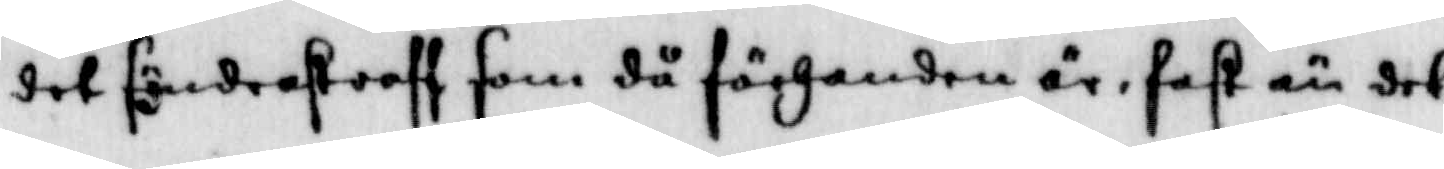det sönderstraff som då förhanden är, fast än det
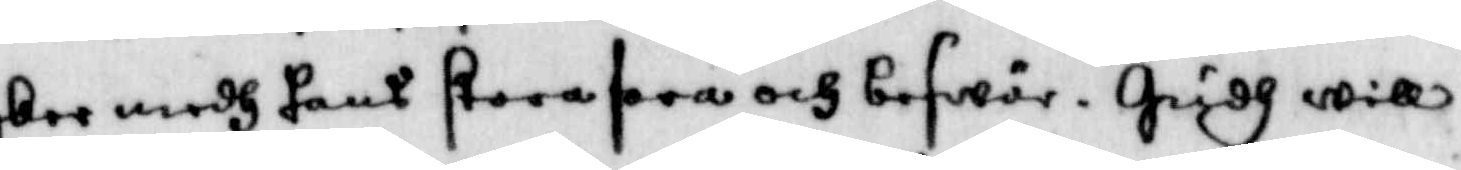ber medh hans stora fara och beswär, Gudh will
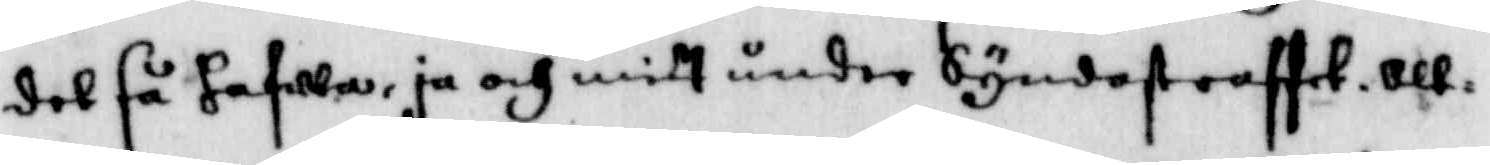det så hafwa, ja och mitt under Syndestraffet, att
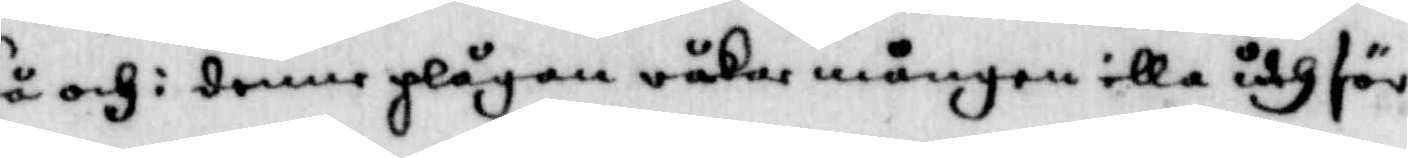så och i denne plågan råker mången illa uthför
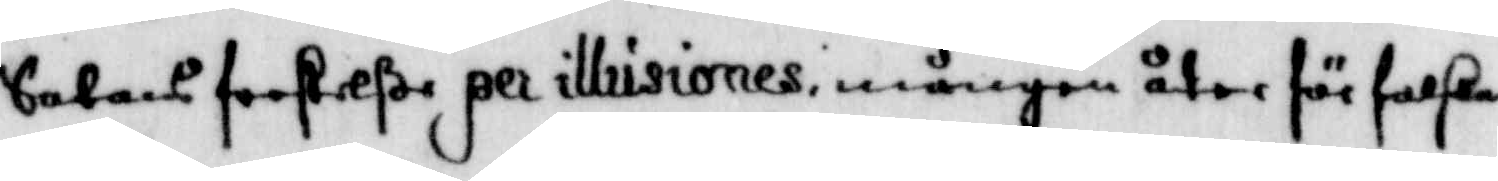Satans frestellße per illusiones mången åter förfalla
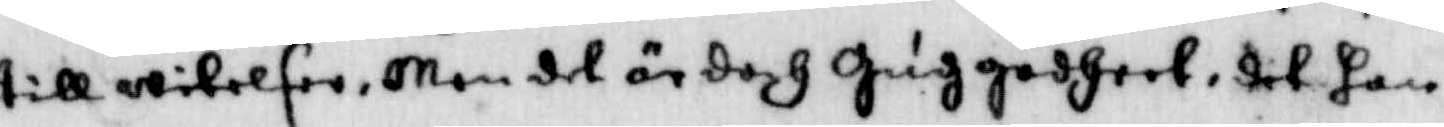till wilelser, Men det är doch Guggodheet, det han
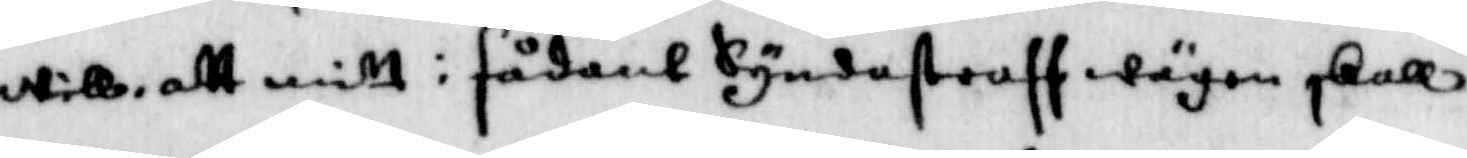will, att mitt i sådant Syndastraff wägen skall
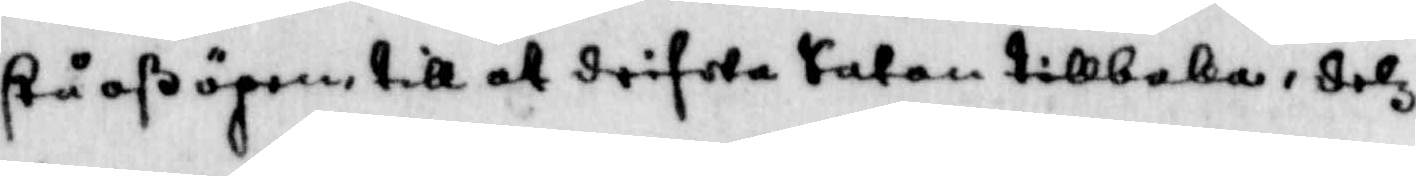stå oß ögon till at drifwa Satan tillbaka, detz
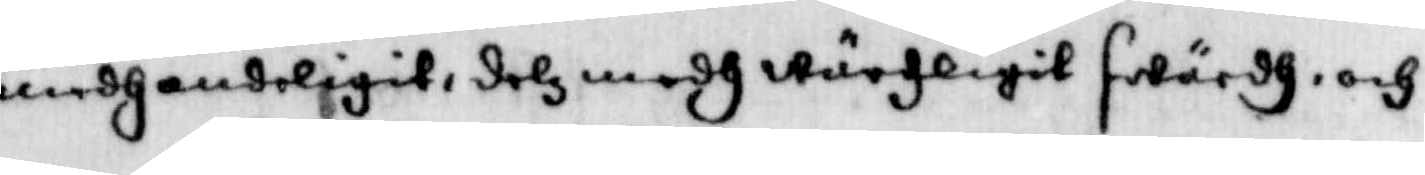medh andeligit, del medh wärligit swärdh, och
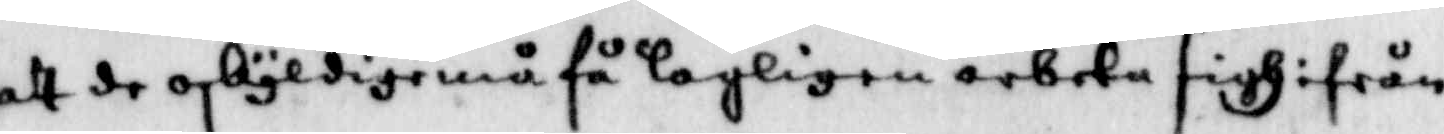att de oskyldige må få lagligen arbeta sigh ifrån
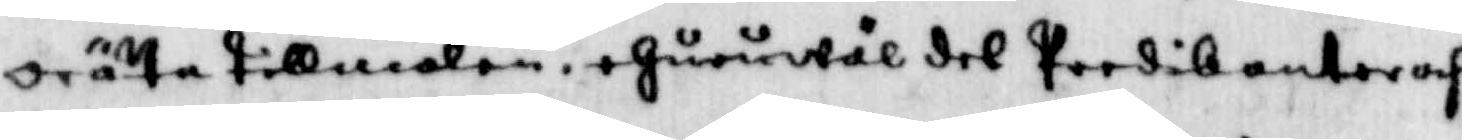orätta tillmälen, ehuruwäl det Predikanter och
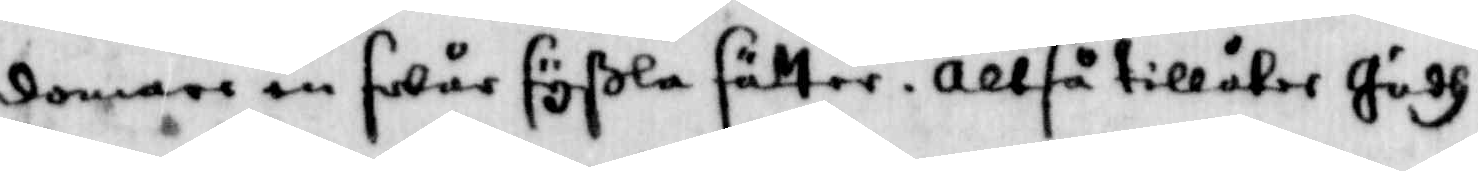domare en swår syßla sätter, Altså tillåter Gudh
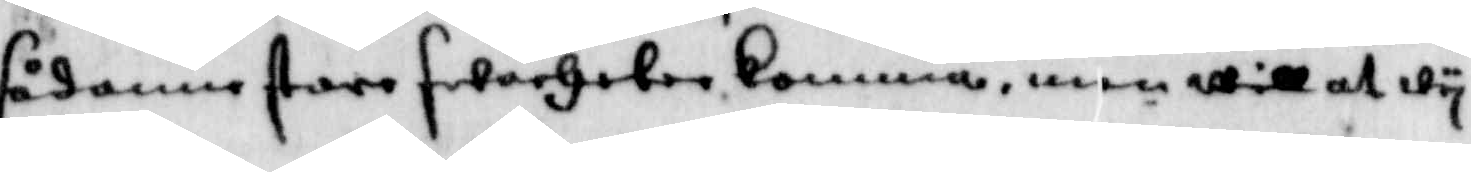sådan store swachten komma, men will att wy
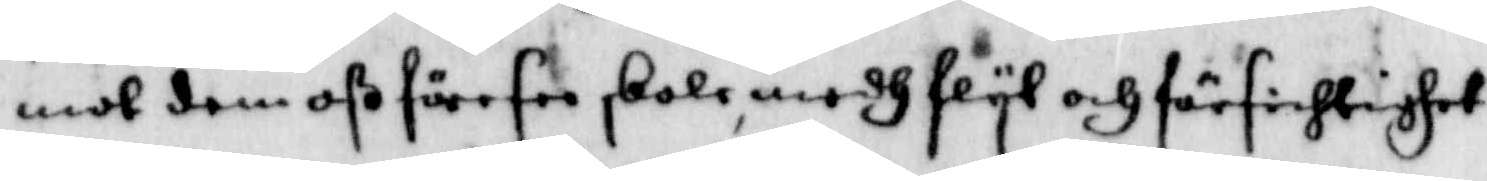mot dem oß föresee skola medh flyt och försichtighet
